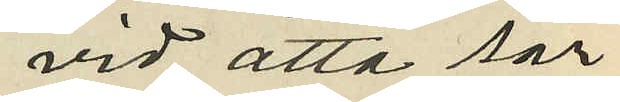vid åtta sär¬
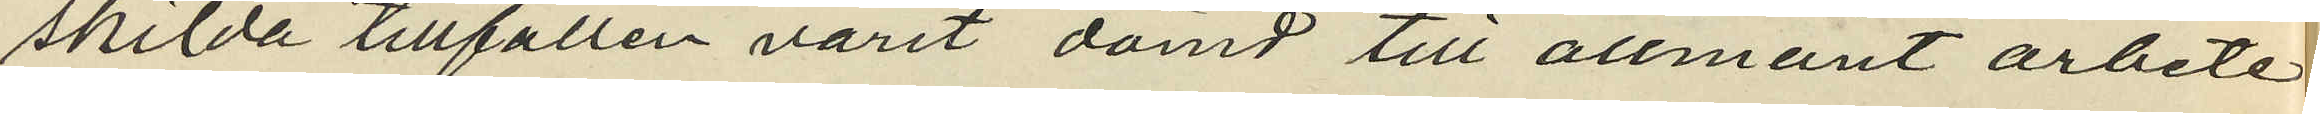skilda tillfällen varit dömd till allmänt arbete
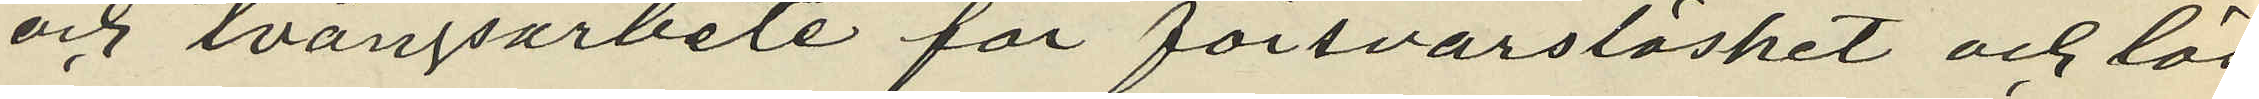och tvångsarbete för försvarslöshet och lös¬
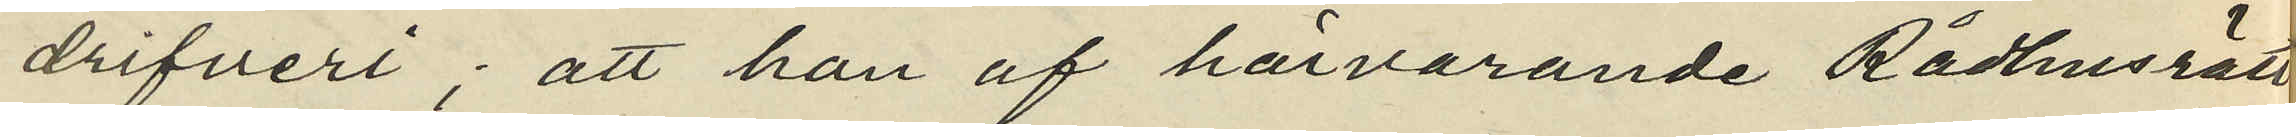drifveri; att han af härvarande Rådhusrätt
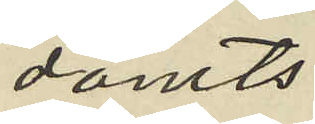dömts:
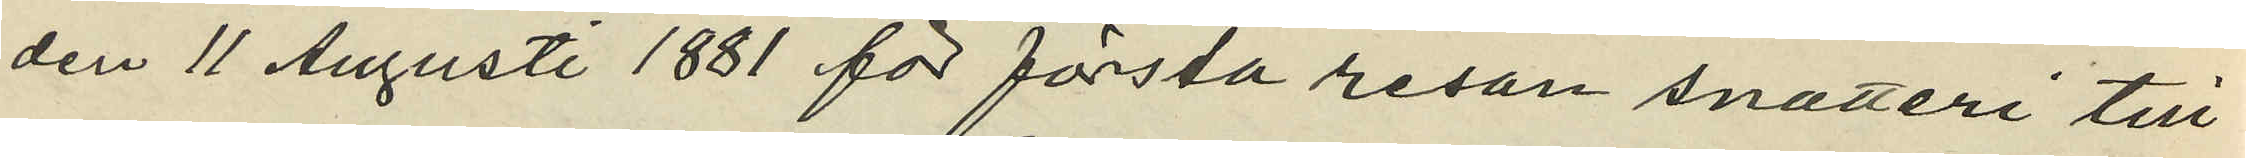den 11 Augusti 1881 för första resan snatteri till
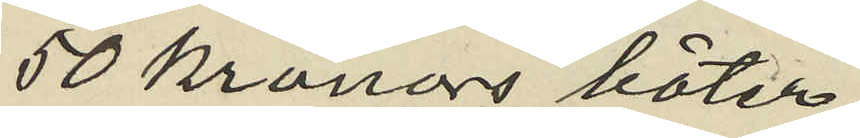50 kronors böter;
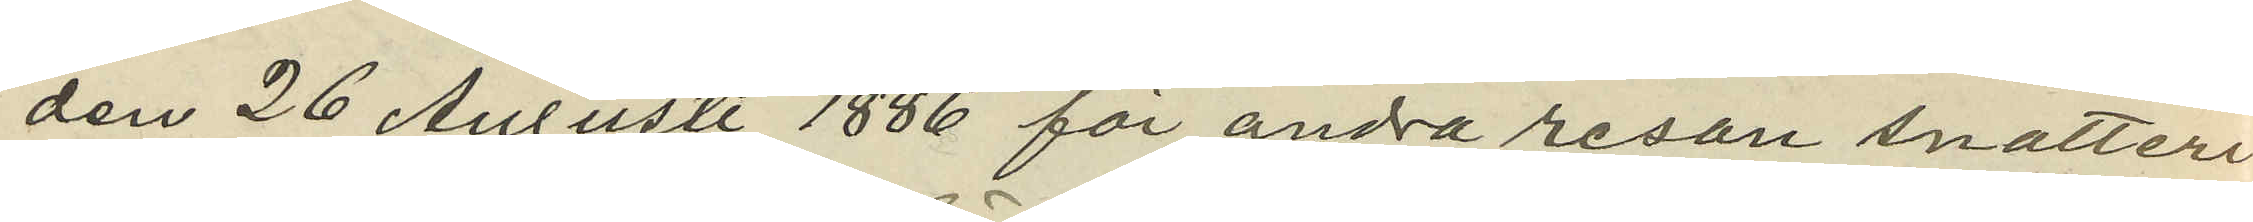den 26 Augusti 1886 för andra resan snatteri
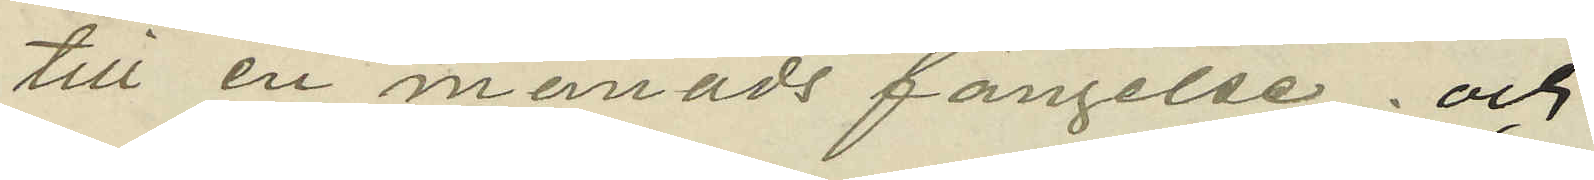till en månads fängelse; och
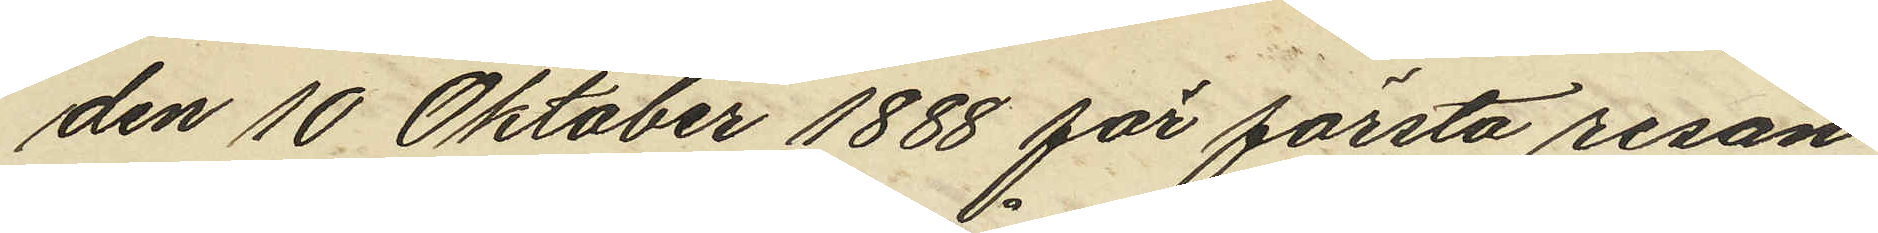den 10 Oktober 1888 för första resan
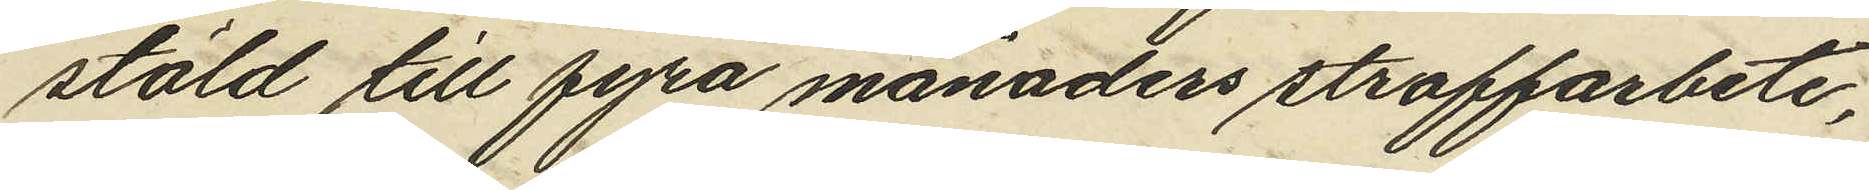stöld till fyra månaders straffarbete,
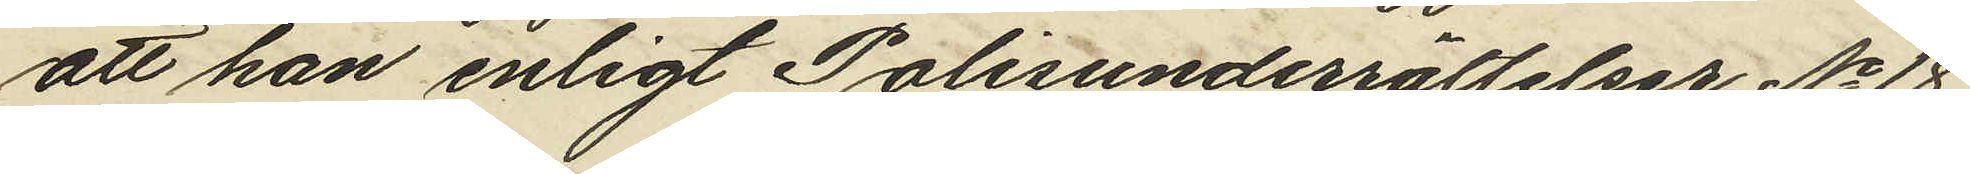att han enligt Polisunderrättelser No 18
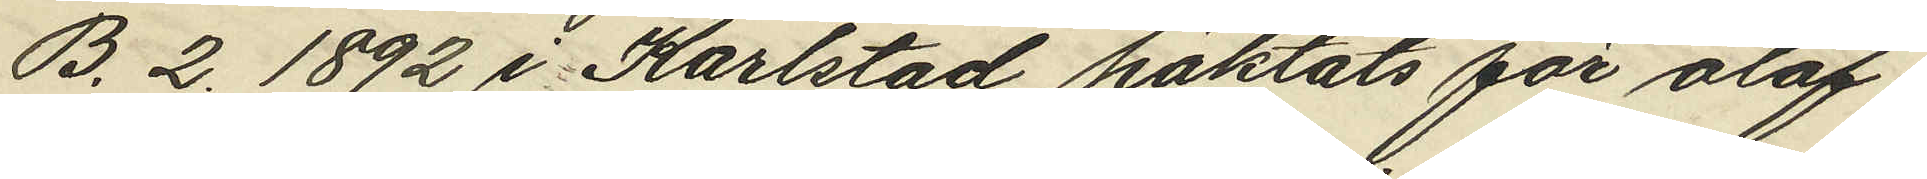B. 2. 1892 i Karlstad häktats för olof¬
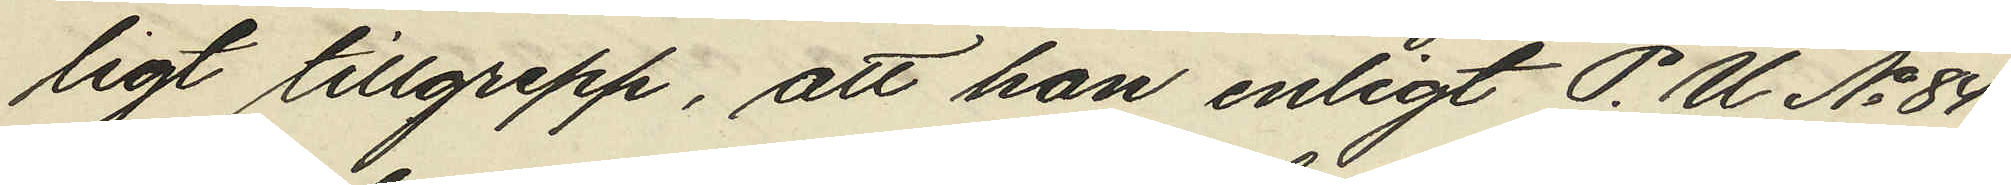ligt tillgrepp, att han enligt P. U No 84
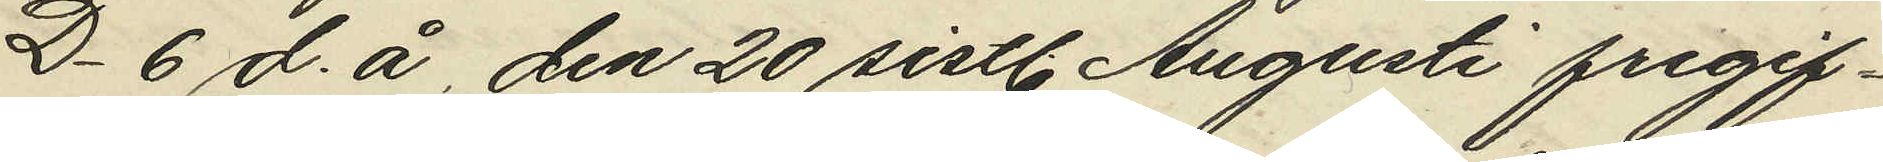D. 6 d. å den 20 sistl. Augusti frigif¬
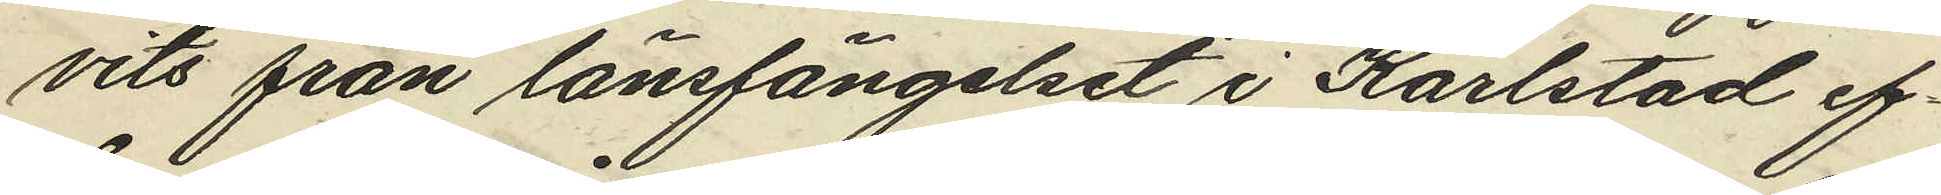vits från länsfängelset i Karlstad ef¬
